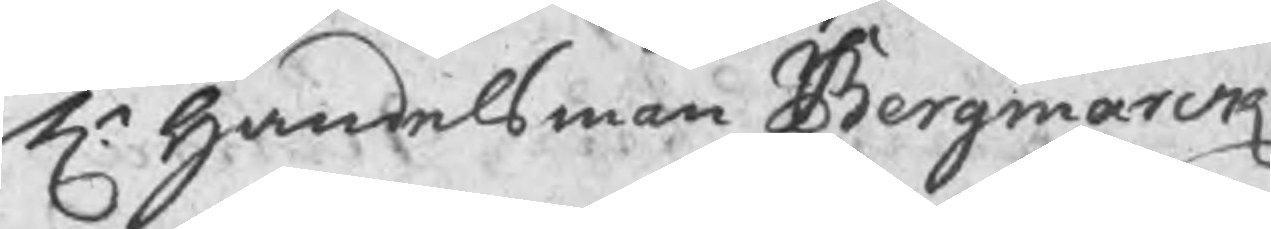Hr handelsman Bergmarck
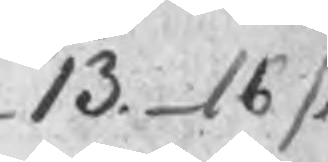13. 16
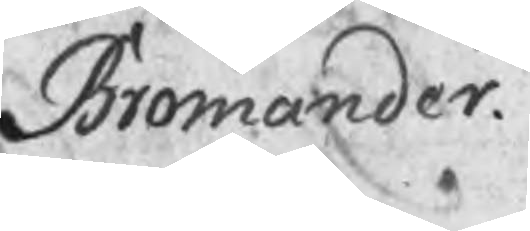Bromander
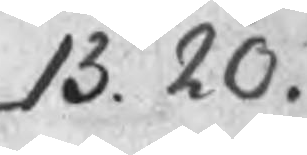13. 20.
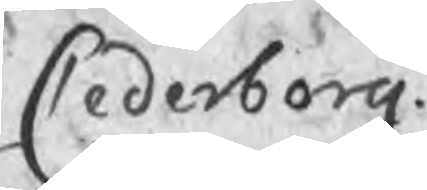Cederborg
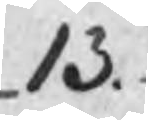13. 24.
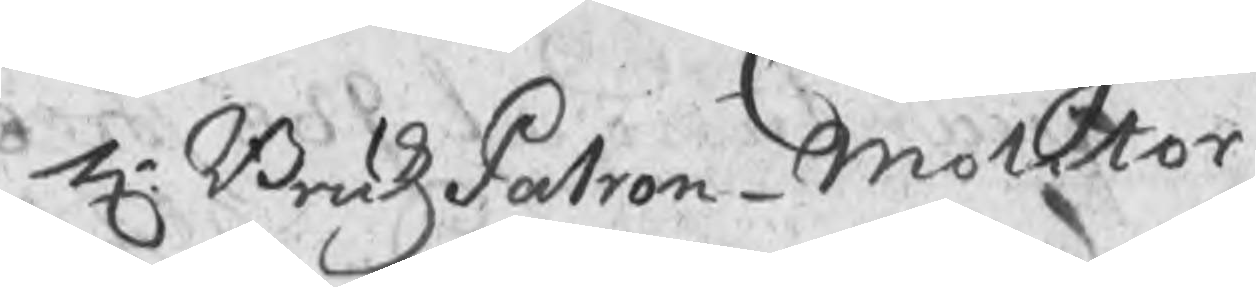Hr BrukzPatron Molitor
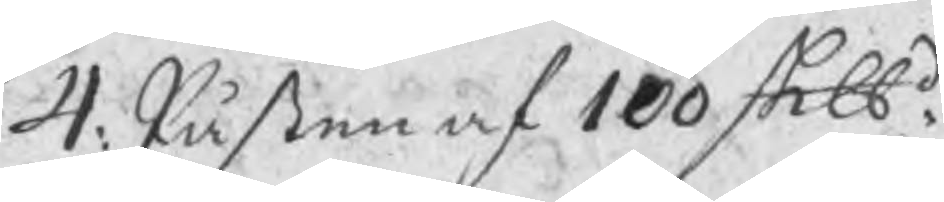4: Påsten af 100 Sklbd:
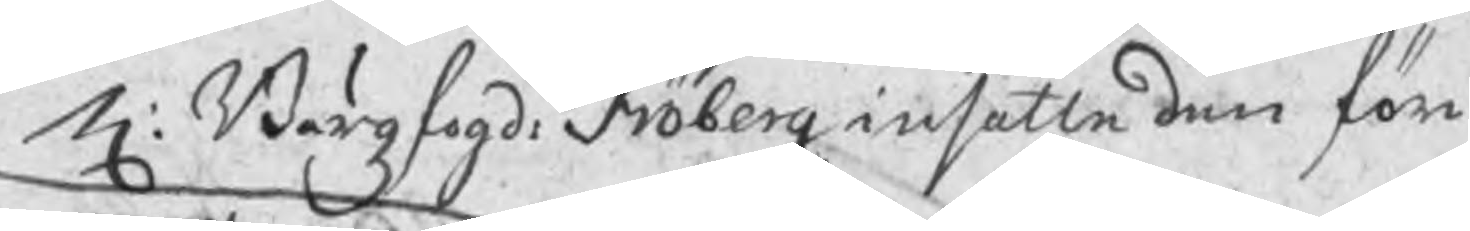H: Bärgzfogd: Fröberg insatte den för
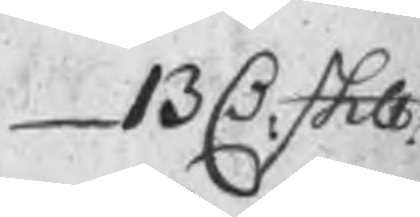13 C Sklb
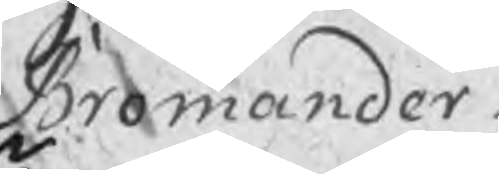Bromander
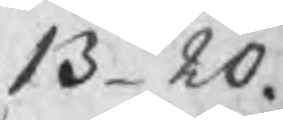13  20.
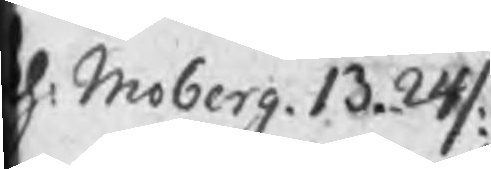h: Moberg 13.24/:
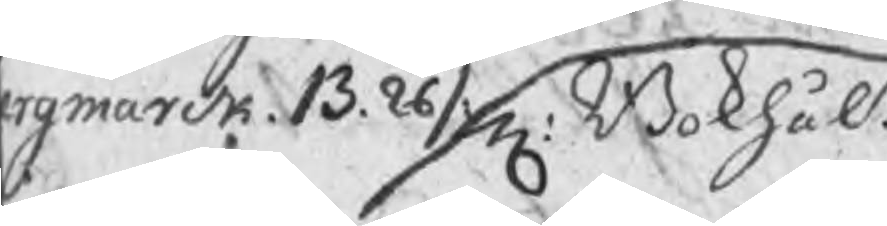rgmarck 13.26/ Hr Bokhåln
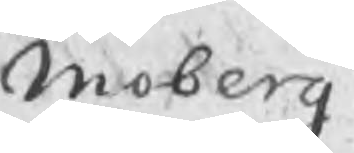Moberg
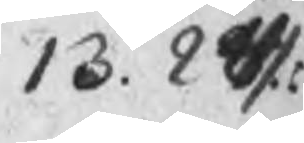13. 24 :
